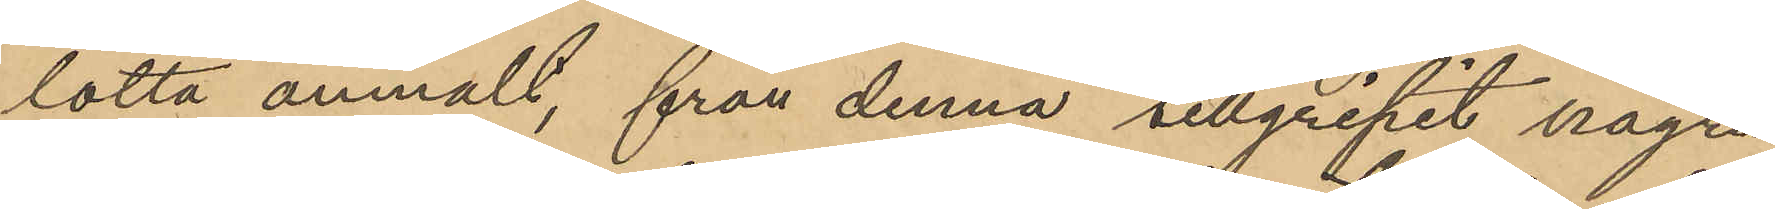lotta anmält, från denna tillgripit några
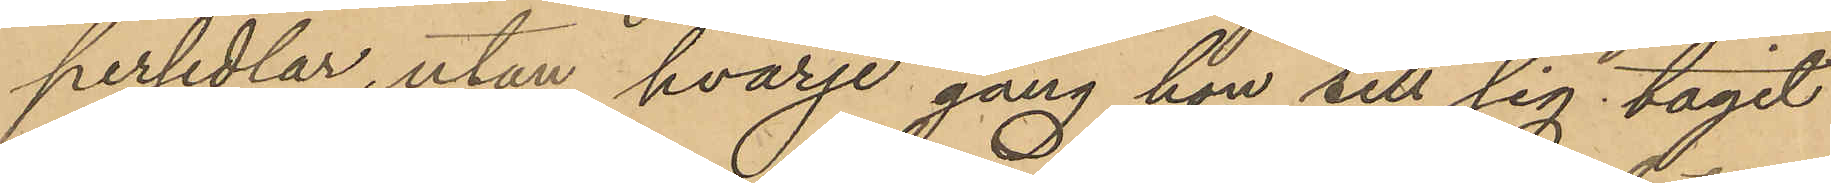persedlar, utan hvarje gång hon till sig tagit
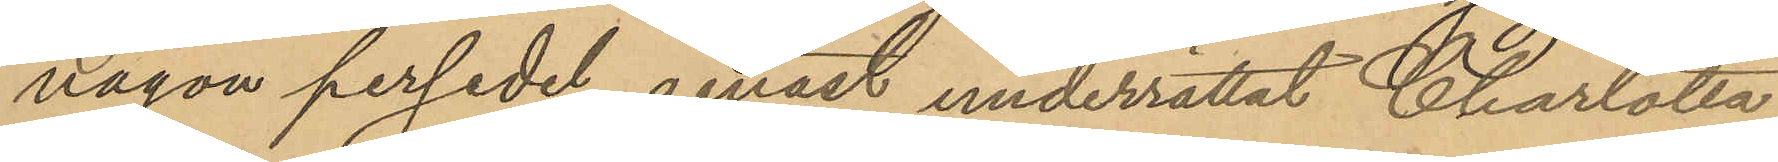någon persedel genast underrättat Charlotta
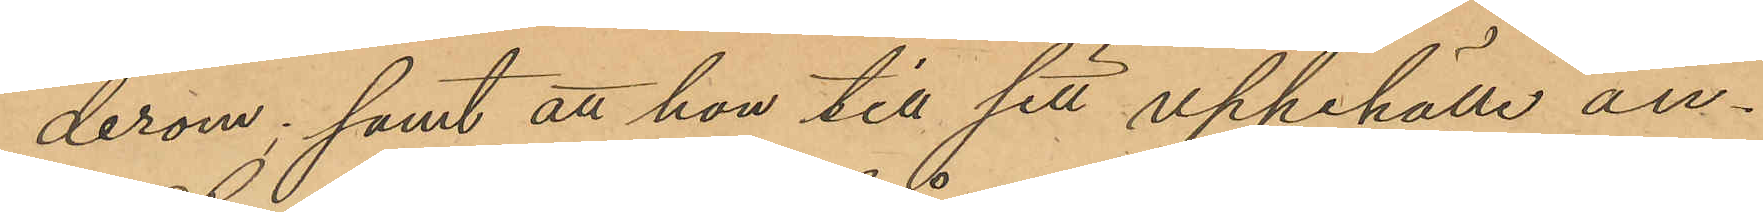derom; samt att hon till sitt uppehälle an¬
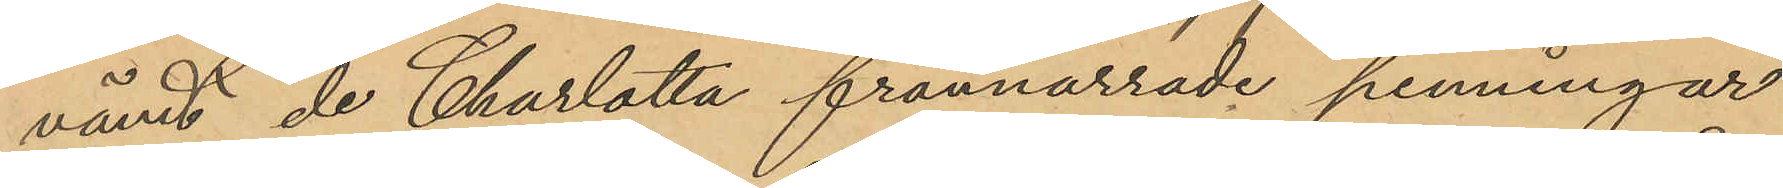vänt de Charlotta frånnarrade penningar
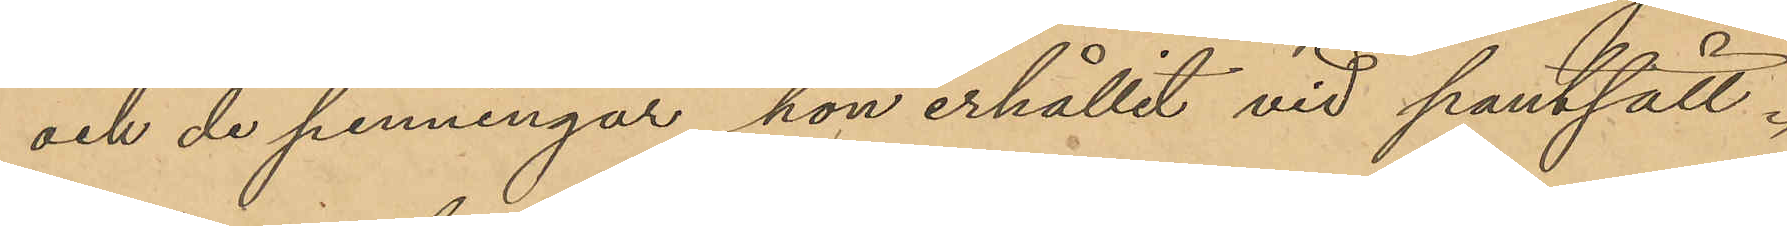och de penningar hon erhållit vid pantsätt¬
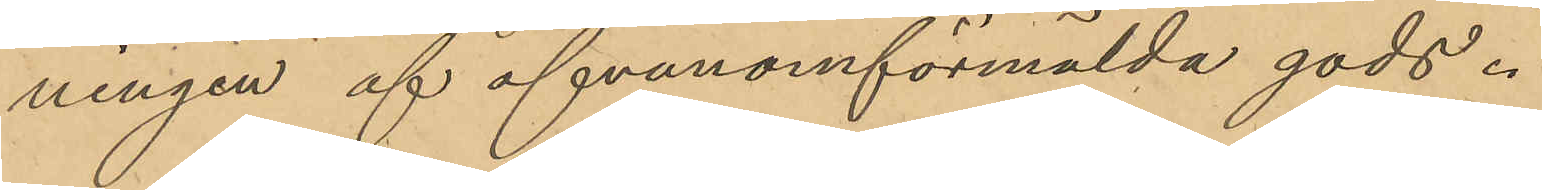ningen af ofvanomförmälda gods.
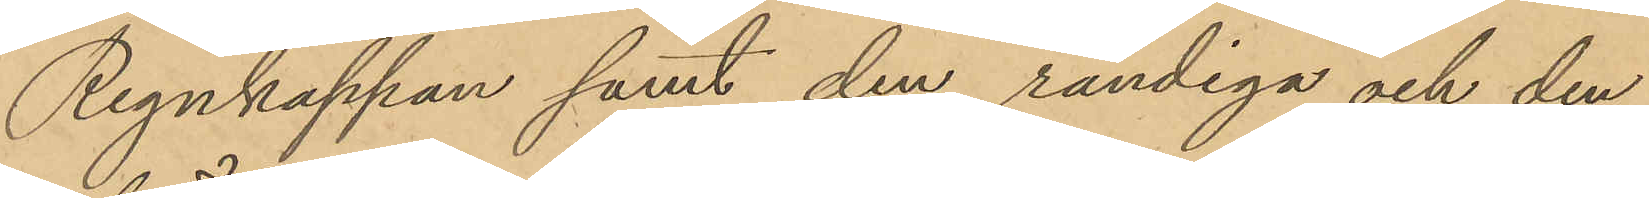Regnkappan samt den randiga och den
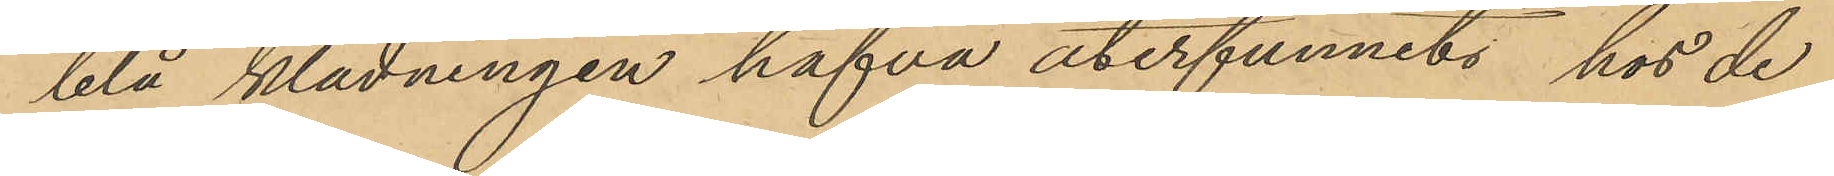blå klädningen hafva återfunnits hos de
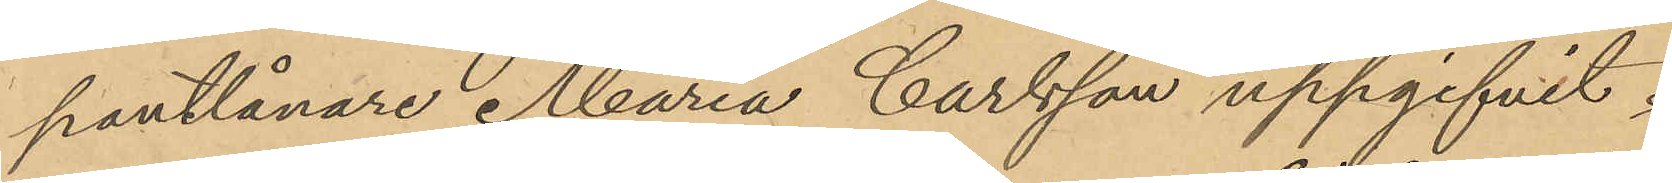pantlånare Maria Carlsson uppgifvit.
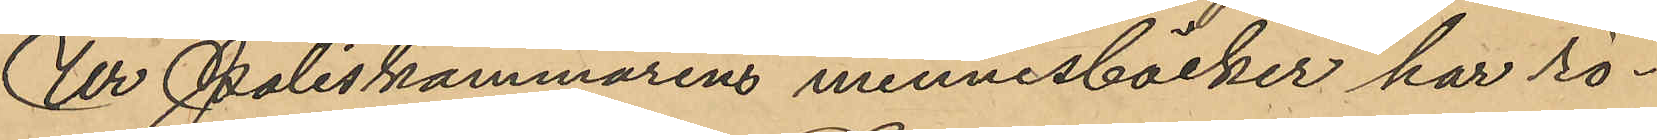Ur Poliskammarens minnesböcker har rö¬
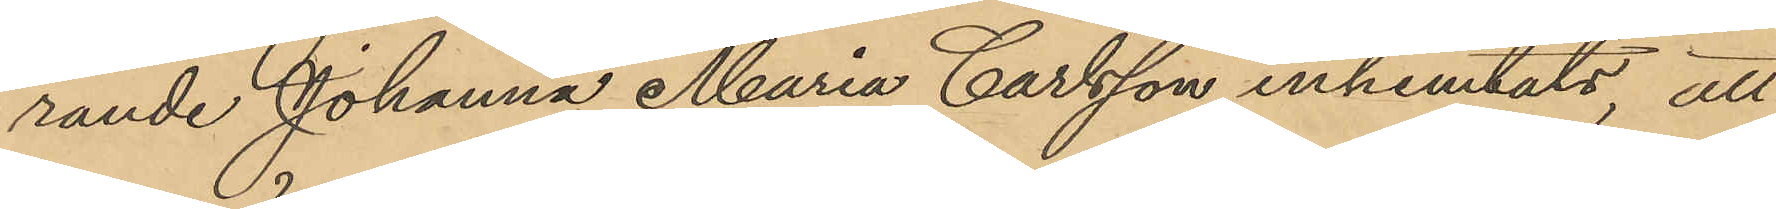rande Johanna Maria Carlsson inhemtats, att
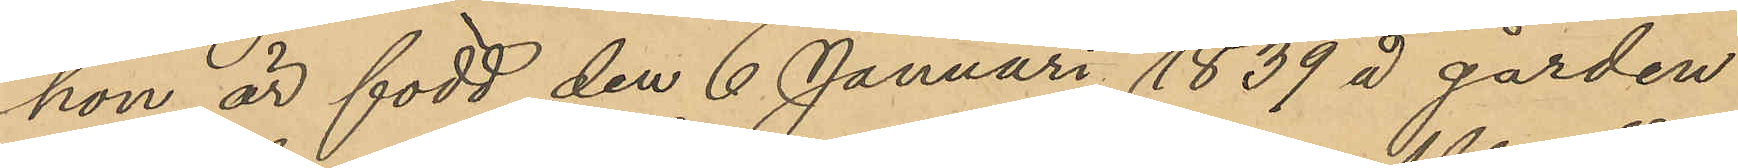hon är född den 6 Januari 1839 å gården
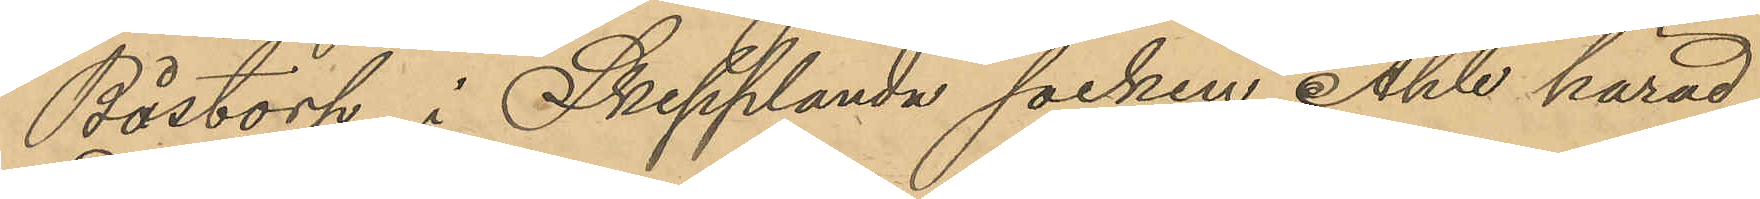Båstorp i Skepplanda socken Ahle härad
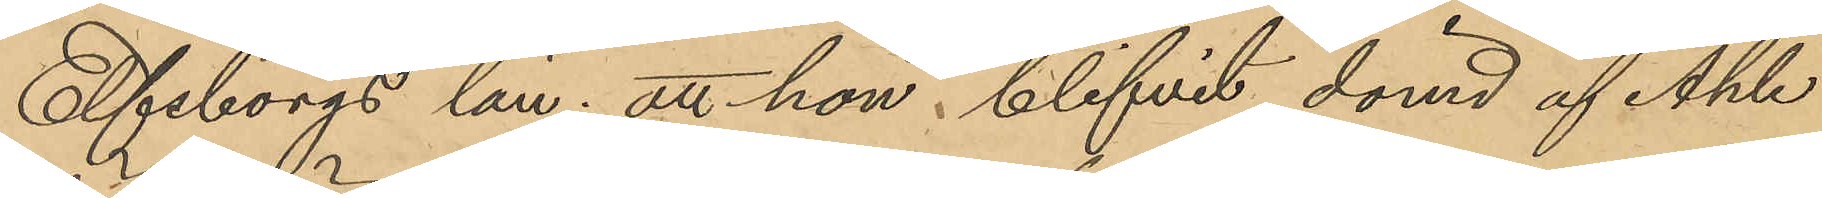Elfsborgs län; att hon blifvit dömd af Ahle
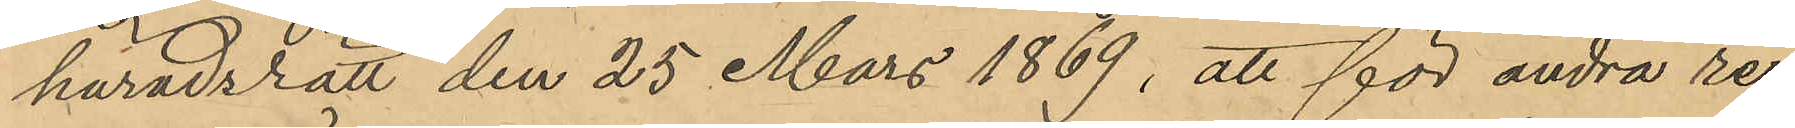häradsrätt den 25 Mars 1869, att för andra re¬
